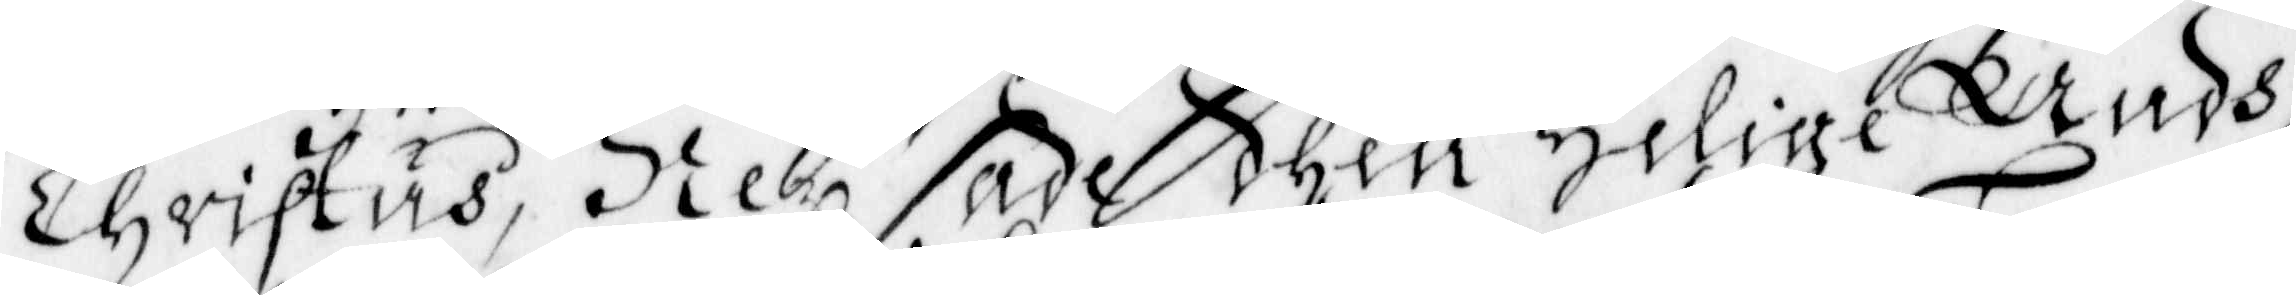Christus, Ney sade then Helige Andh,
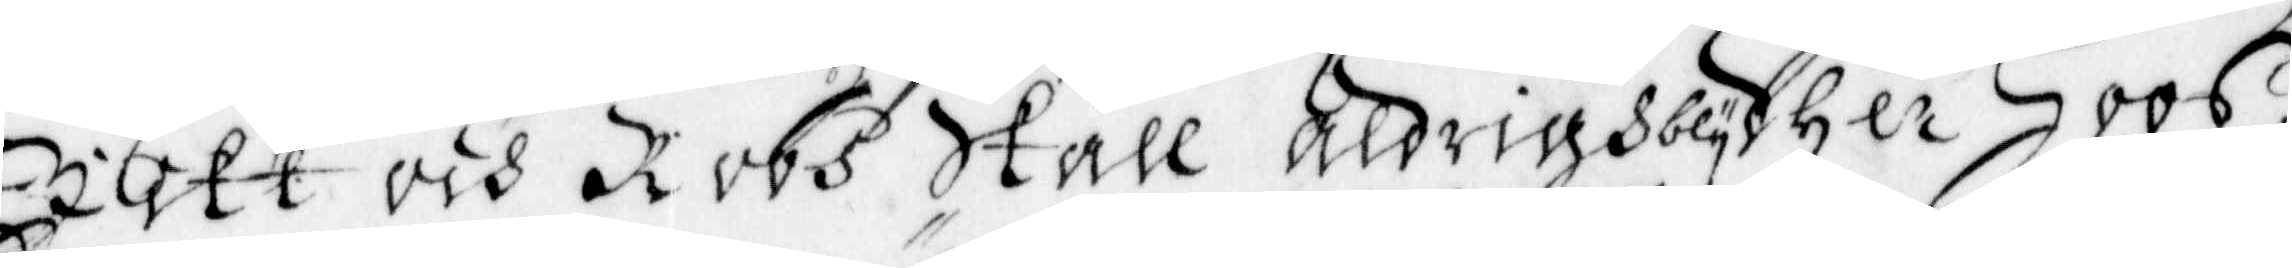Jikt och Robh skall aldrig bly dher hoos,
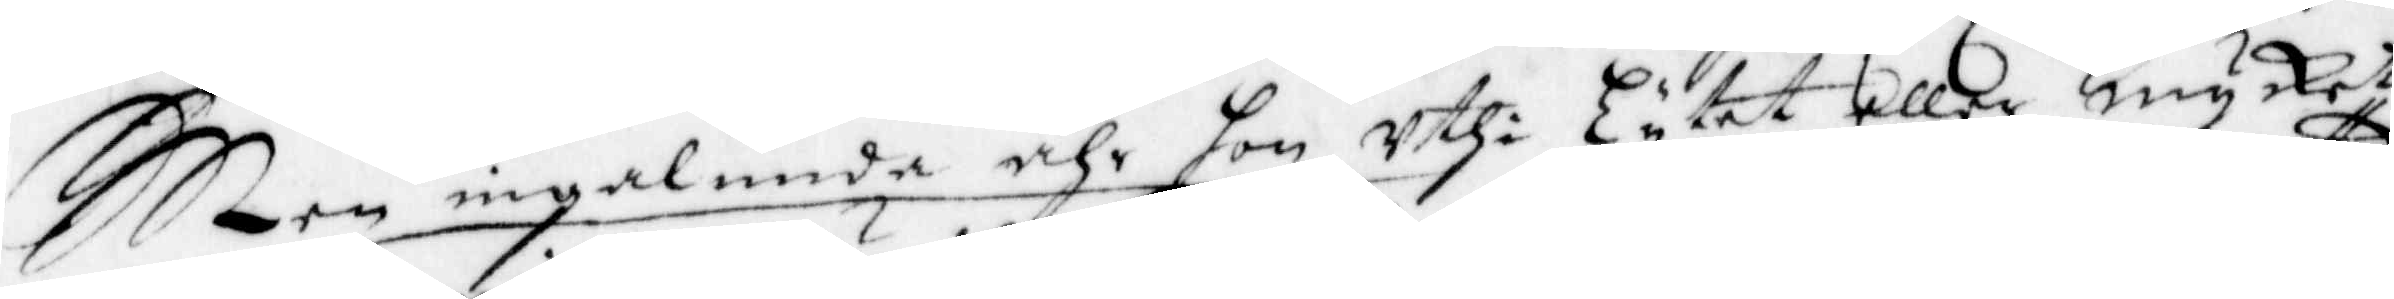Men ingalunda ähr hon uthi Lytet eller mycket
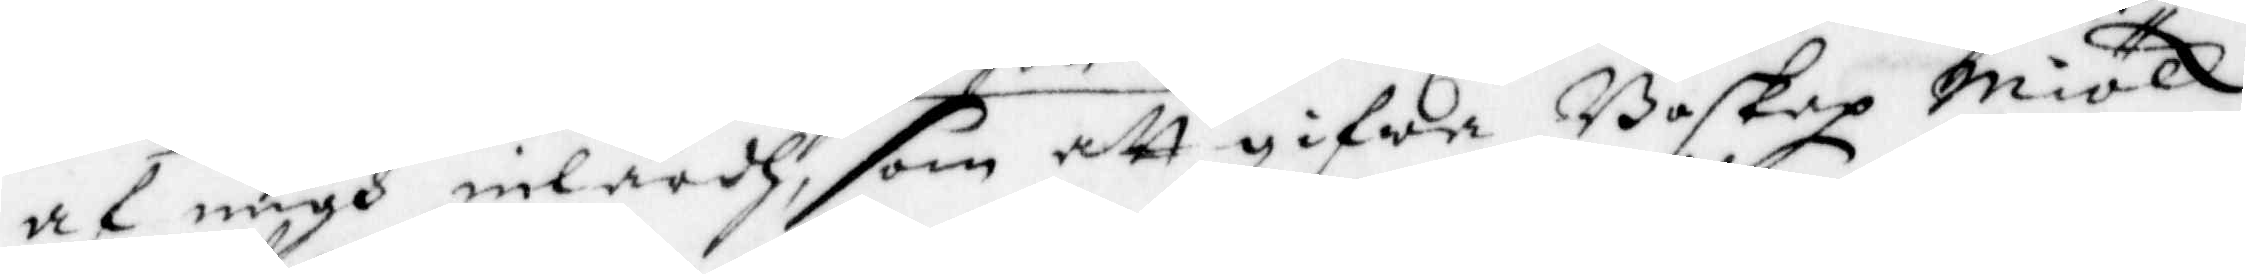af migh inlärdh, som att gifwa Boskap Miölk
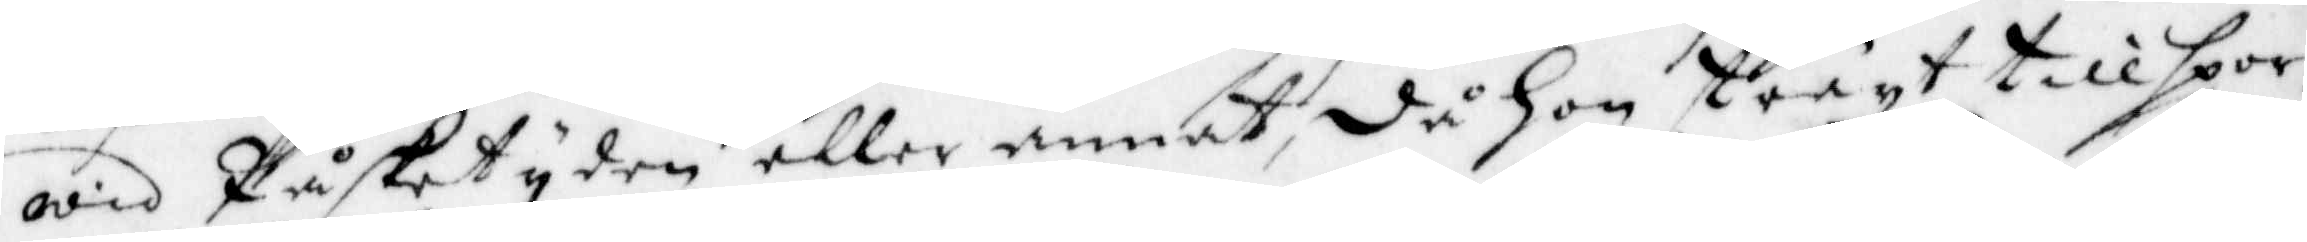wid Påsketyden eller annat, då hon straxt tillspor¬
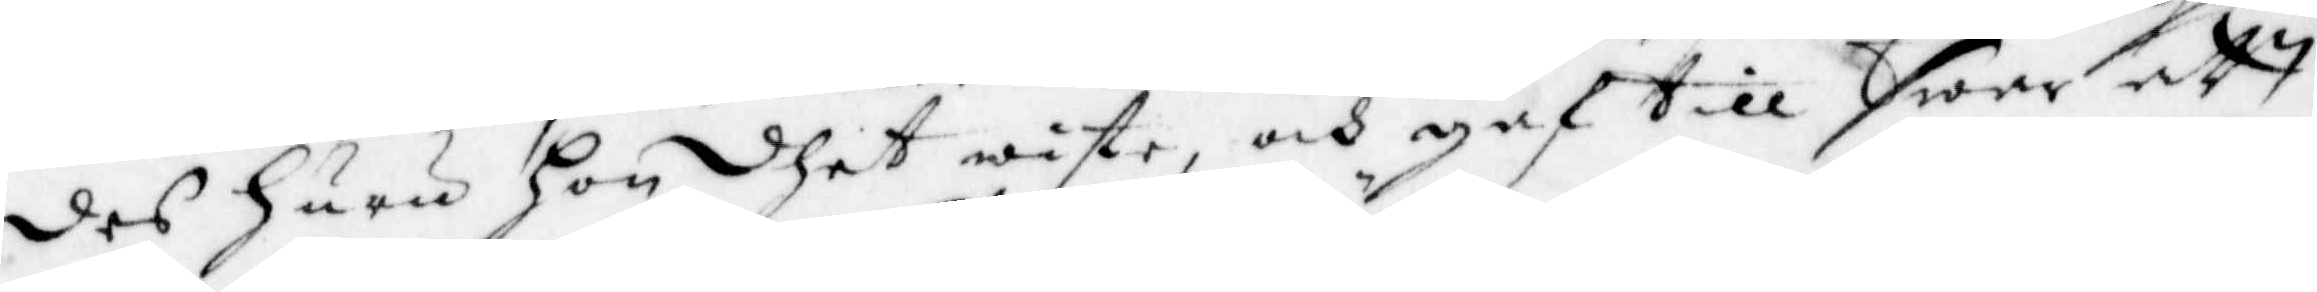des huru hon dhet wiste, och gaf till swar att
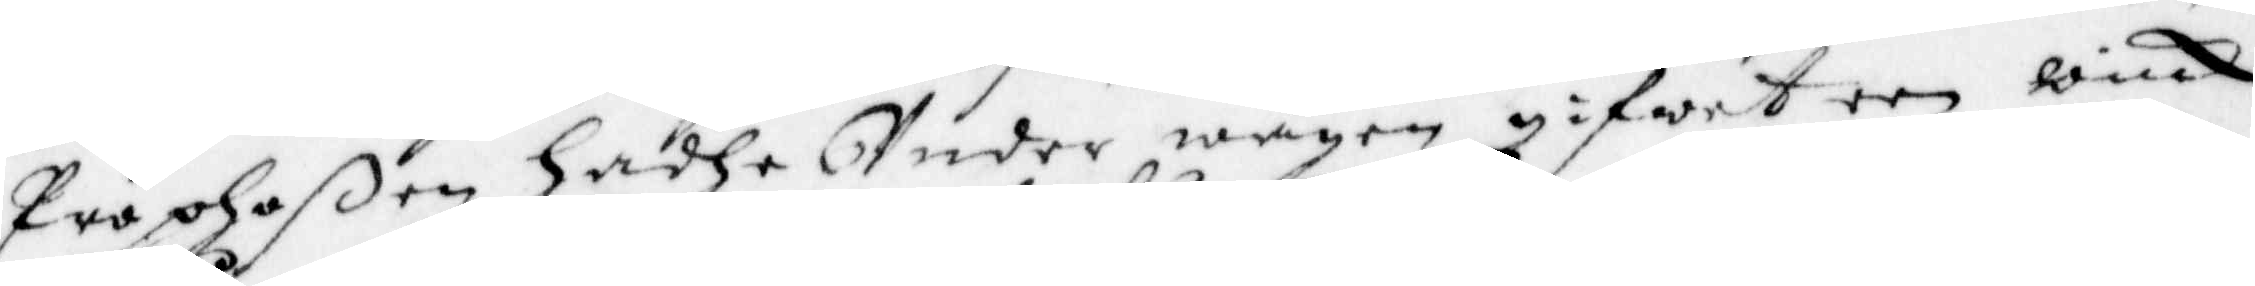Propoßen hadhe Under wägen gifwet een wink
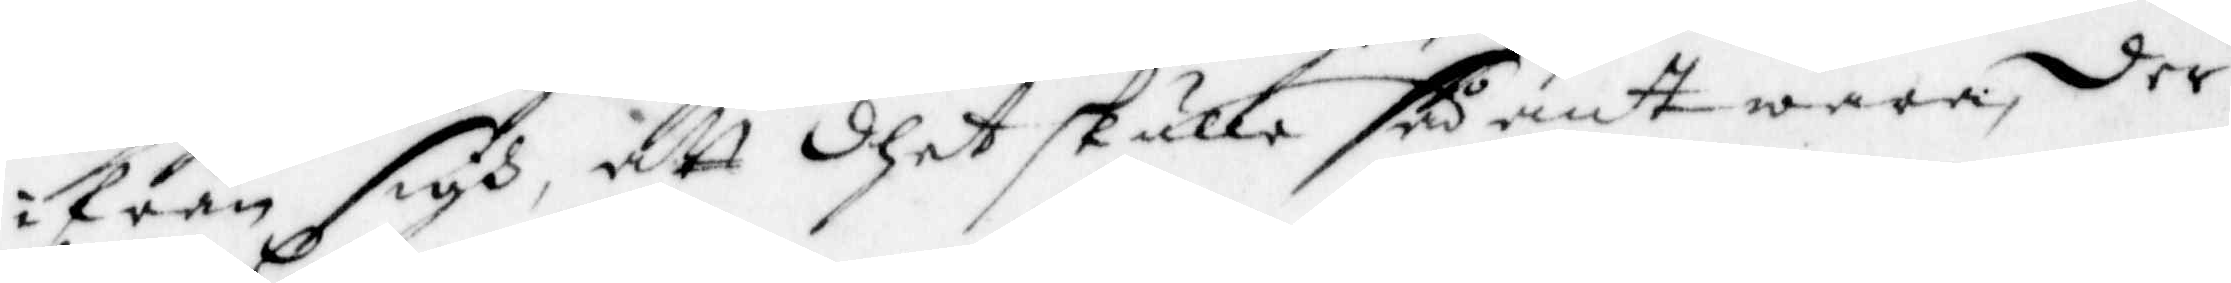ifrån sigh, att dhet skulle sådant wara, der
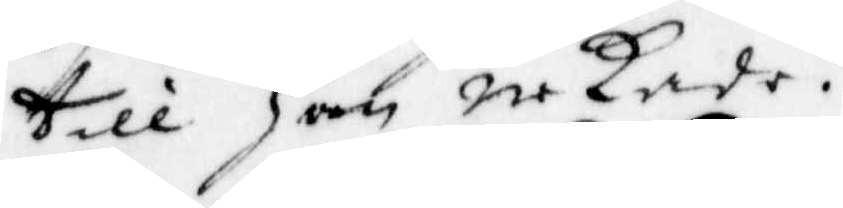till han nekade.
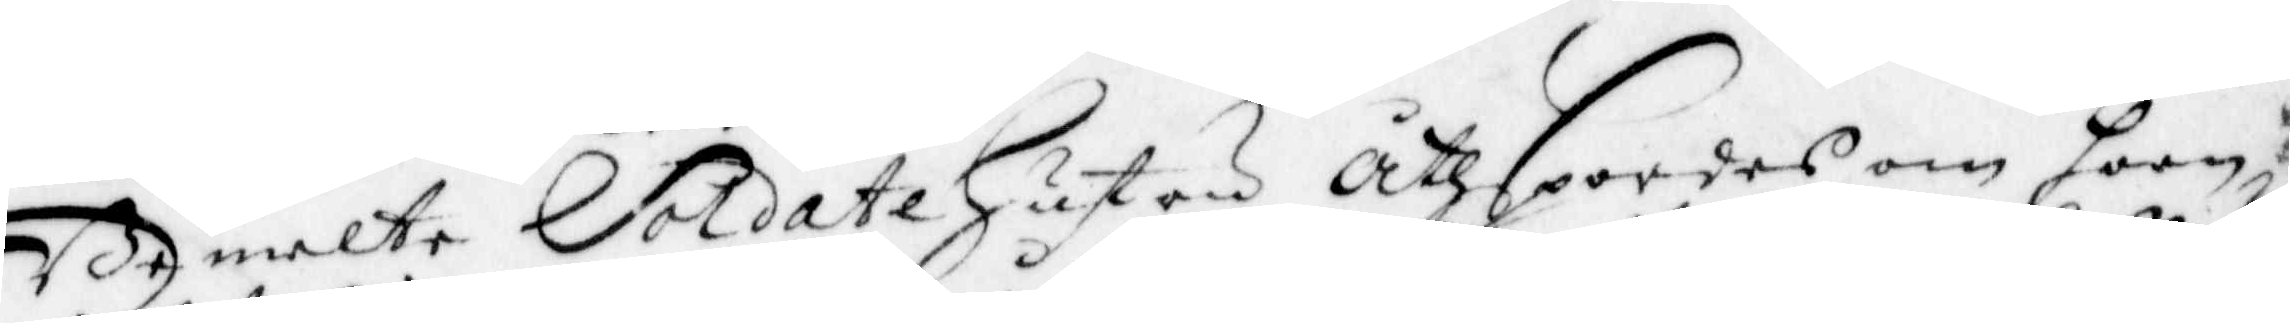Bemelte Soldate Hustru åtspordes om hoon
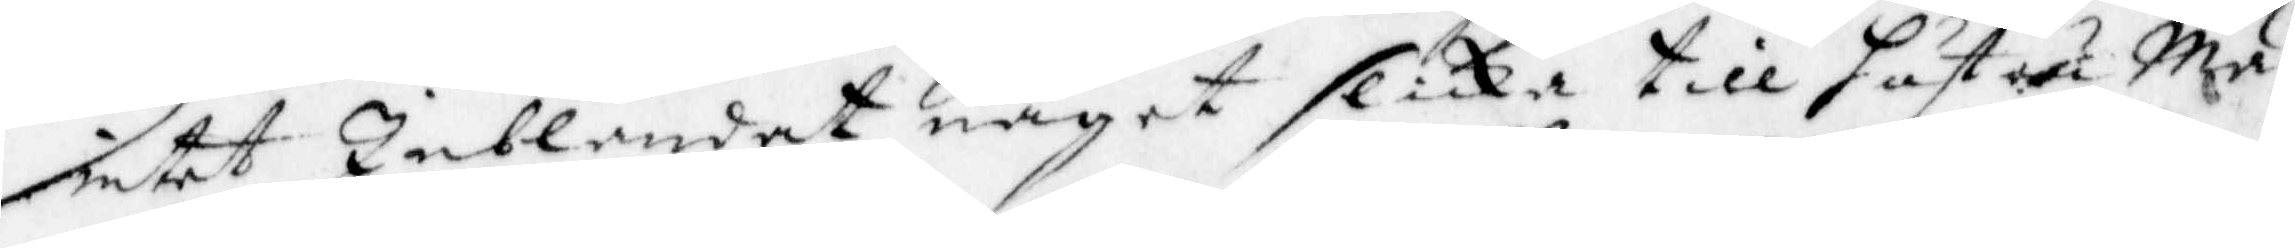intet Inblandat något slika till hustru Mä¬
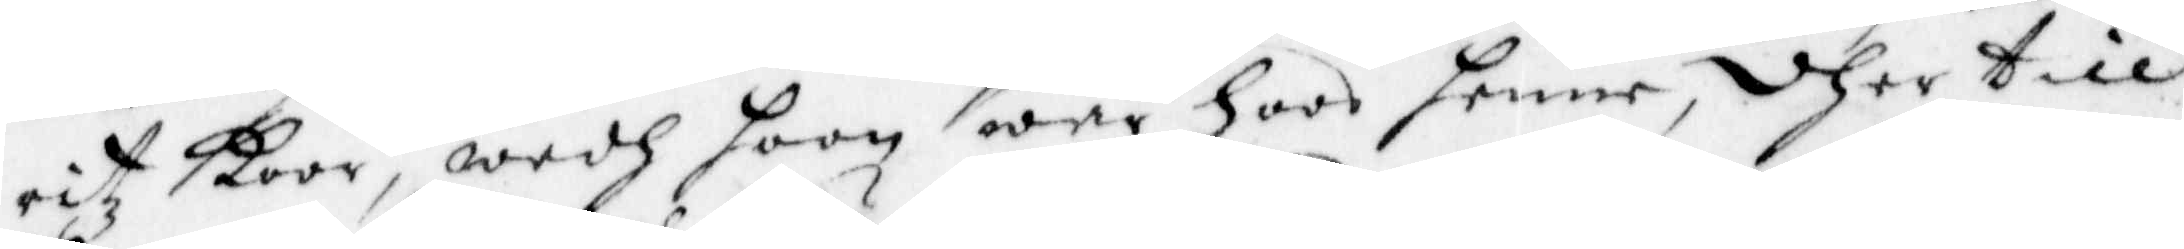ritz koor, wedh hoon war hoos henne, dher till
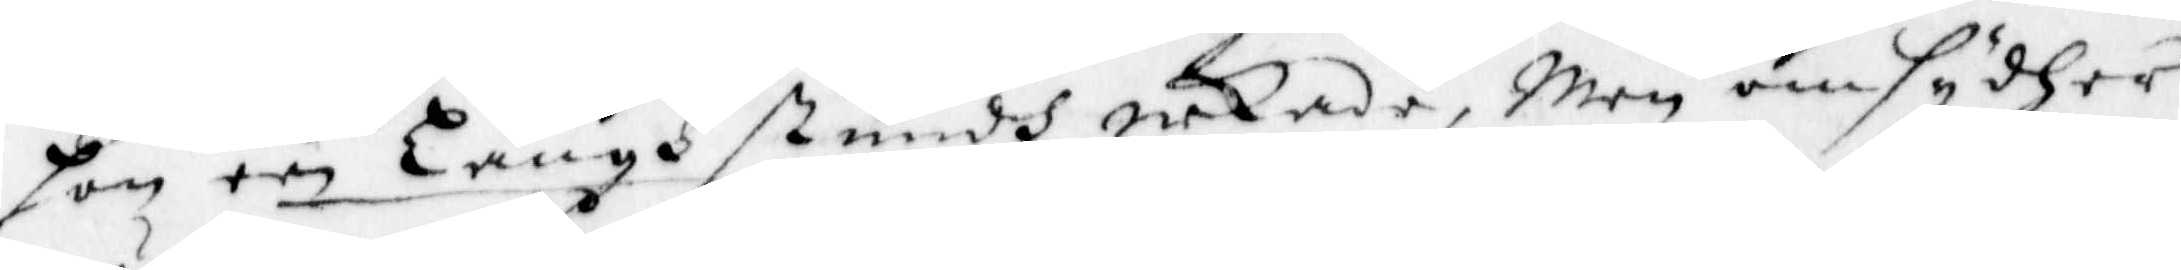hon een Långh stundh nekade, men omsydher
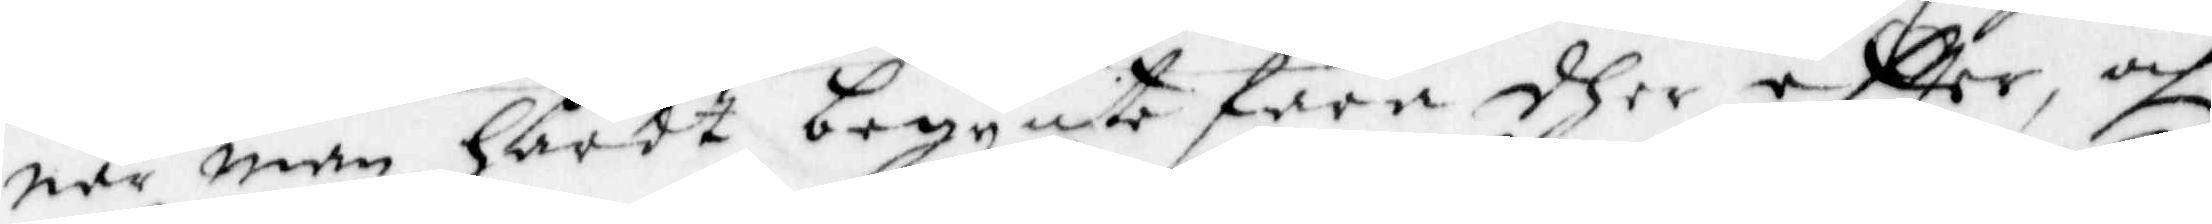när man hårdt begynte fara dher eftter, och
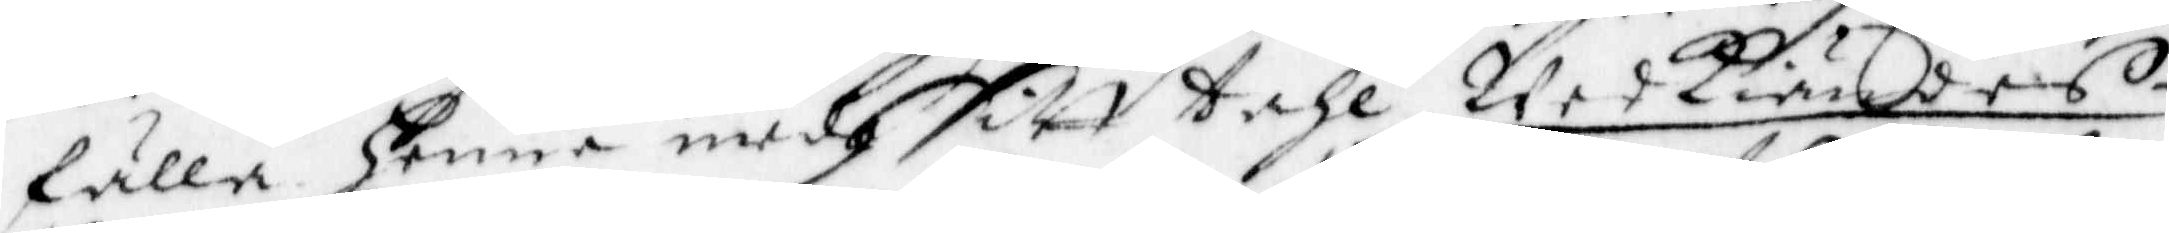fälla henne medh sitt tahl, wedkiändes,
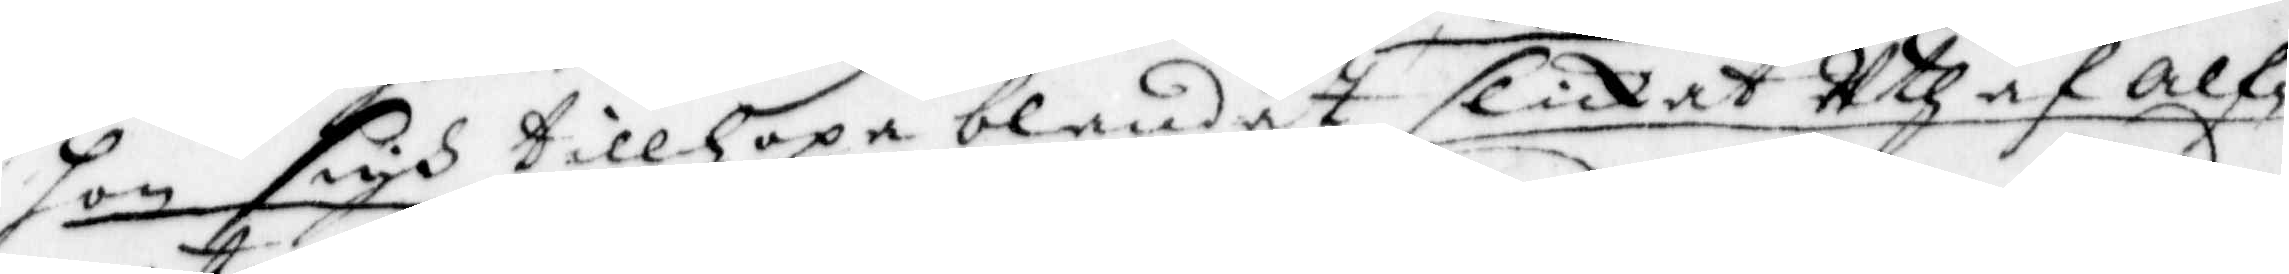hon sigh tillhopa blandat slickat uthaf alf¬
